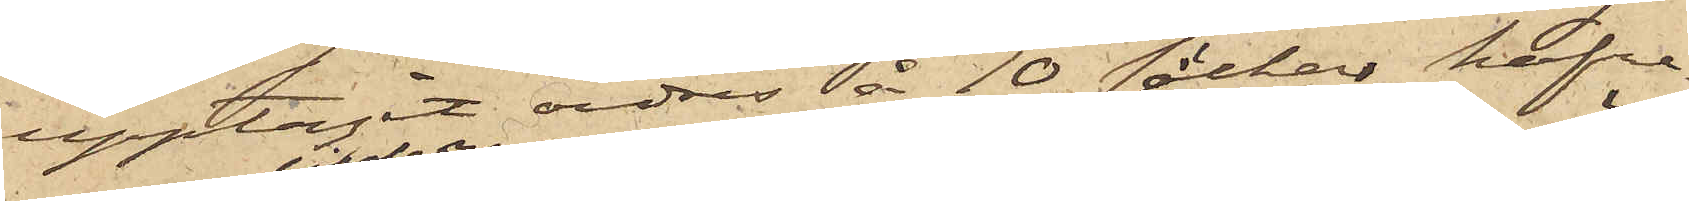upptagit ordres å 10 säckar hafre¬
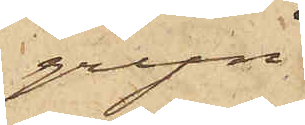gryn
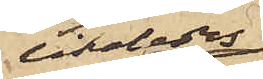likaledes
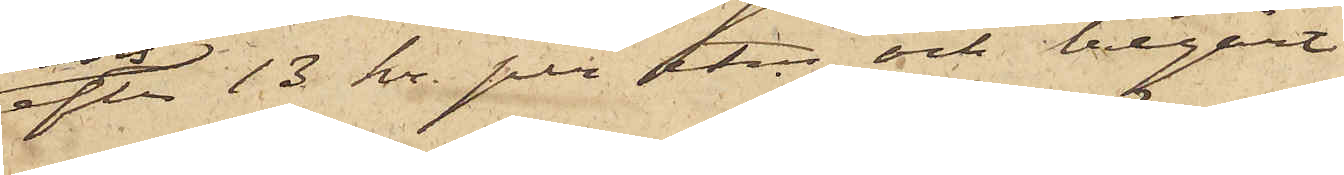efter 13 kr. per Ctr och begärt
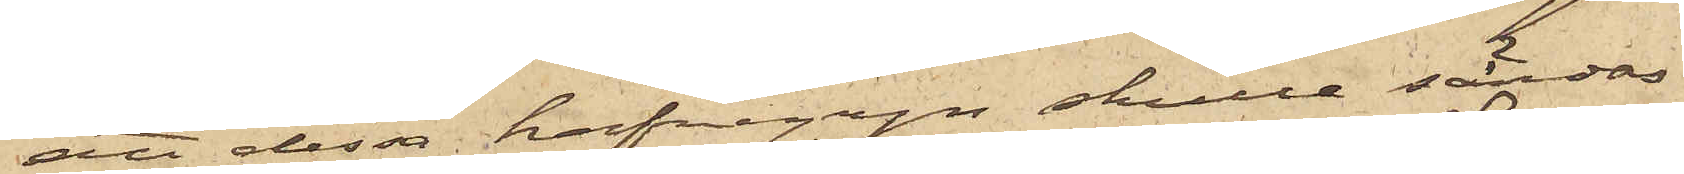att dessa hafregryn skulle sändas
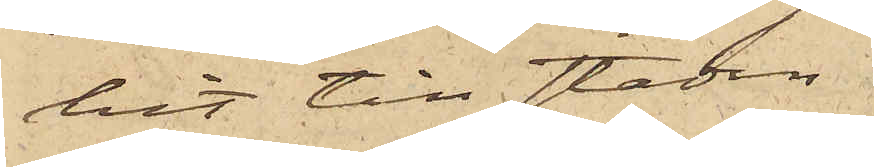hit till staden
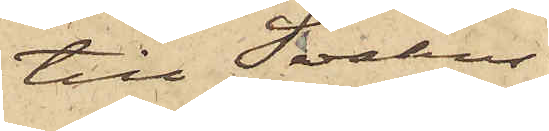till Svahns
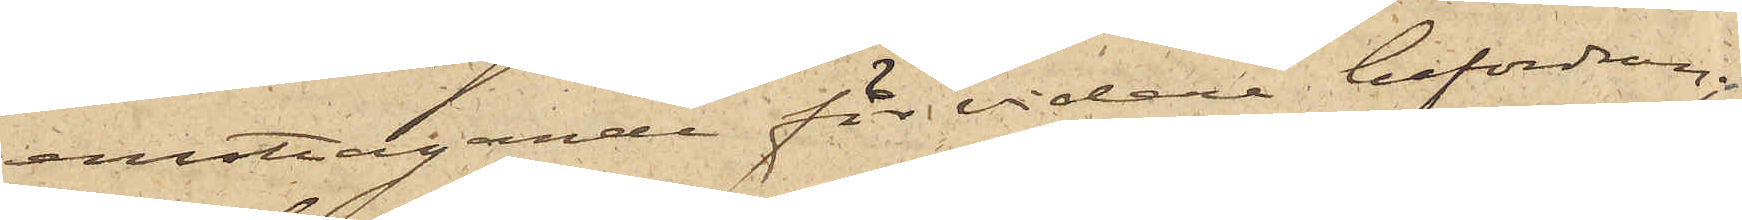emottagande för vidare befordran;
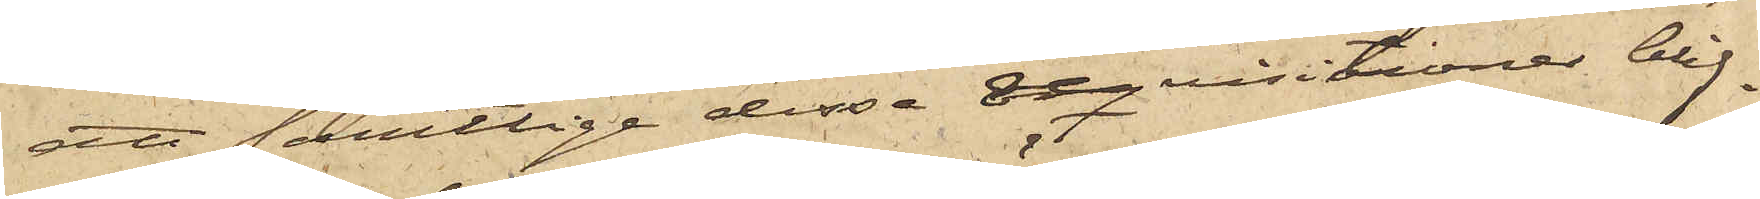att samtlige dessa reqvisitioner blif¬
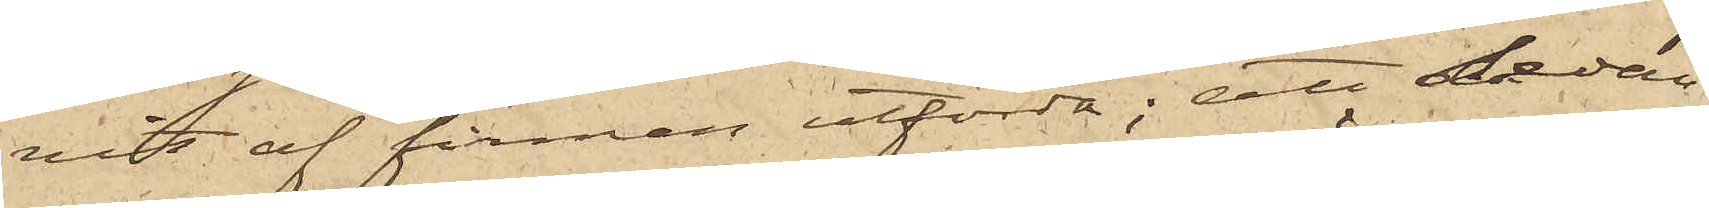vit af firman utförda; att sedan
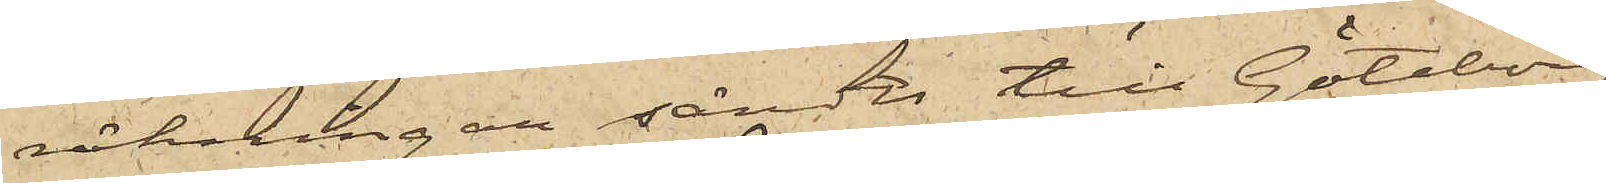räkningar sändts till Göteborg
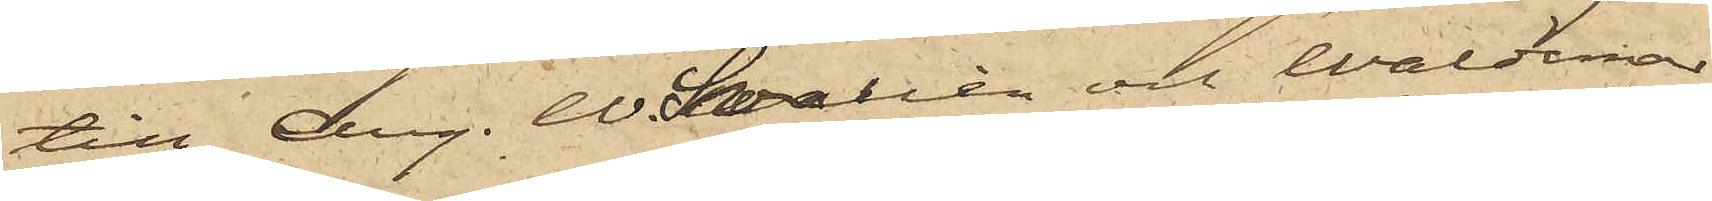till Aug. W. Swallén och Waldemar
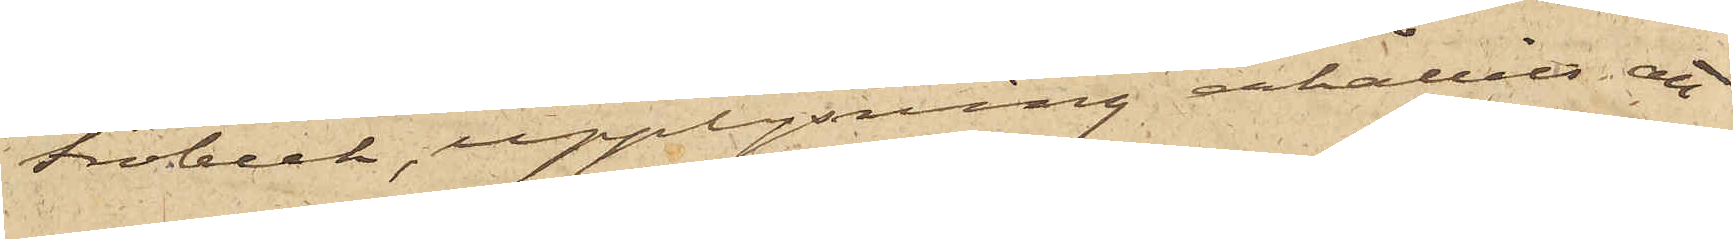Fröbeck, upplysning erhållits att
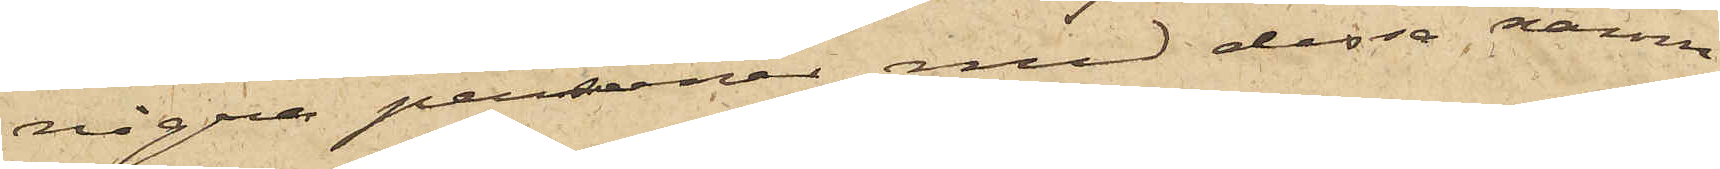några personer med dessa namn
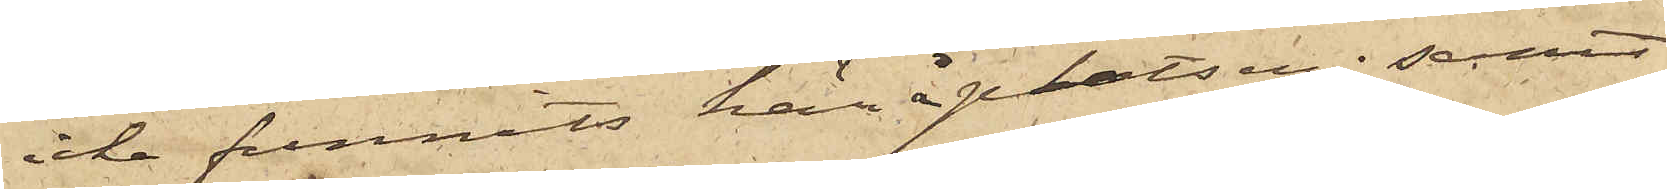icke funnits här å platsen; samt
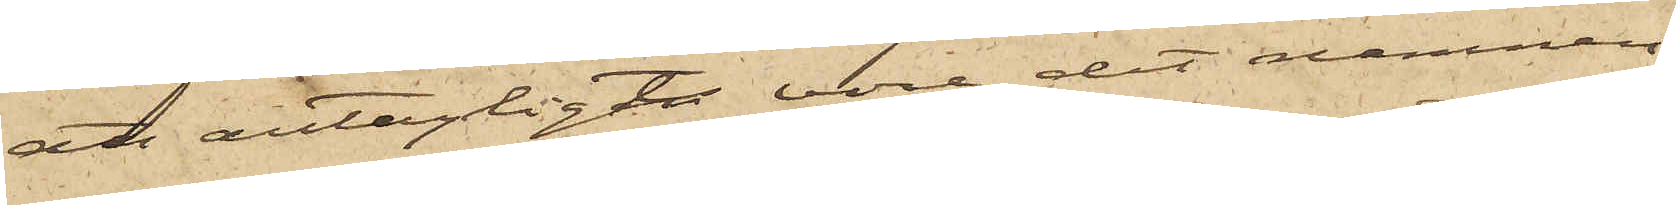att antagligt vore det namnen
